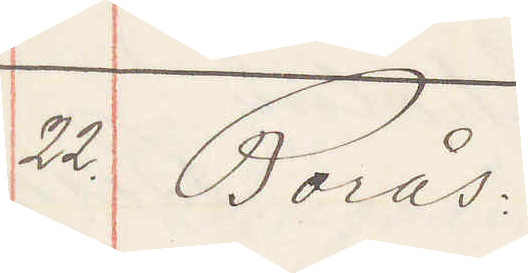22. Borås.
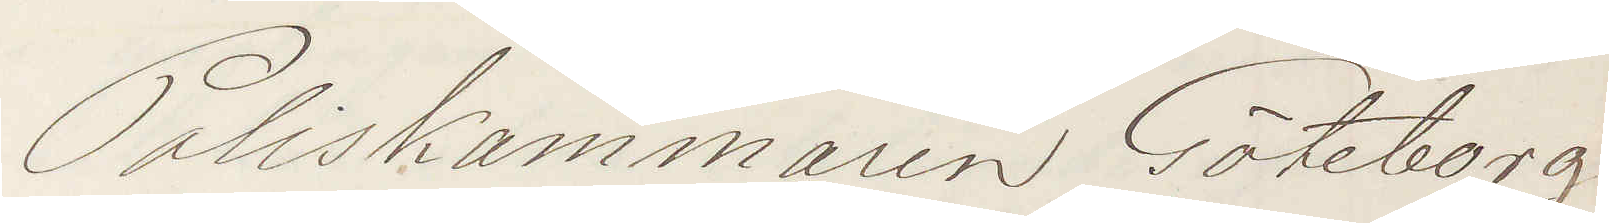Poliskammaren Göteborg
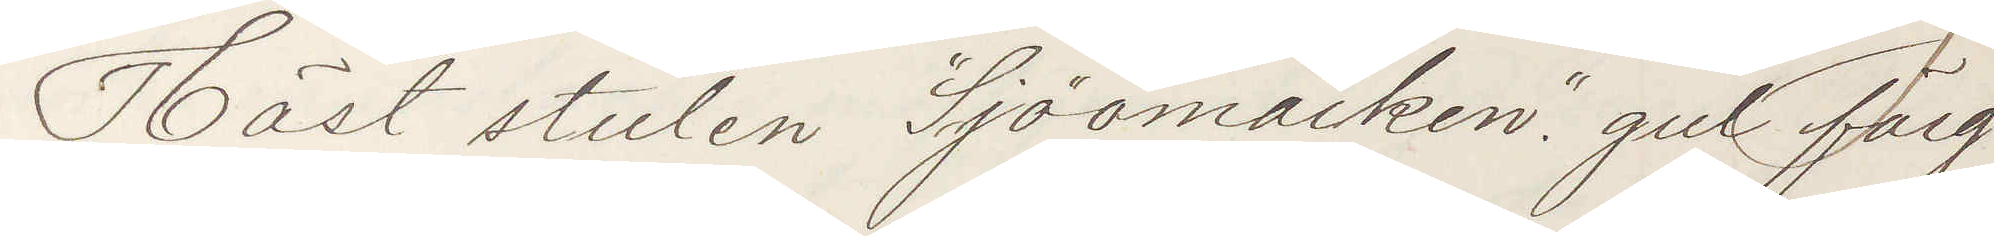Häst stulen Sjömarken gul färg
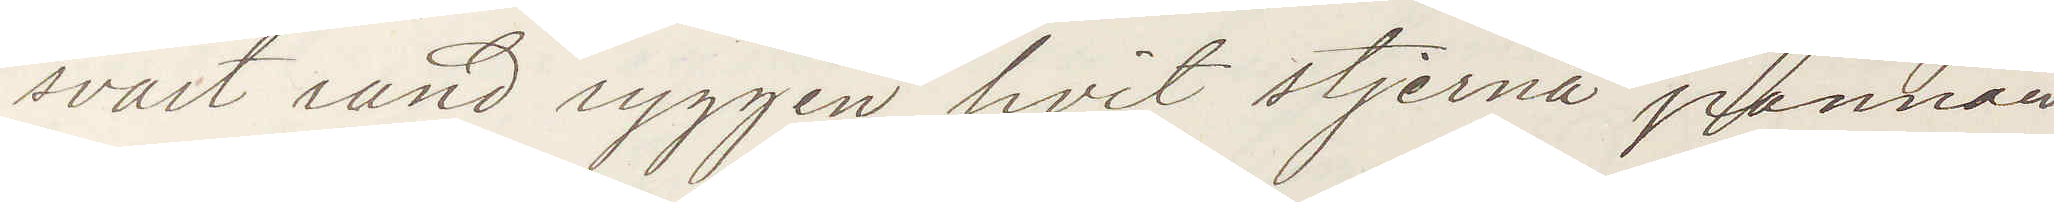svart rand ryggen, hvit stjerna pannan
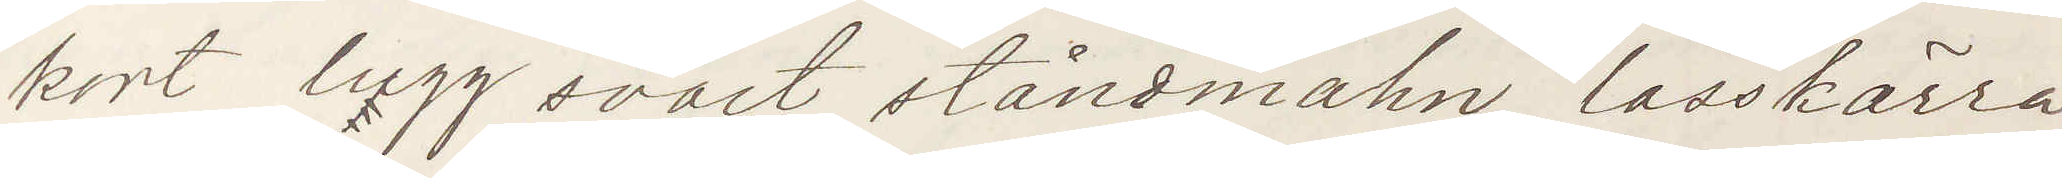kort lugg svart ståndmahn, lasskärra
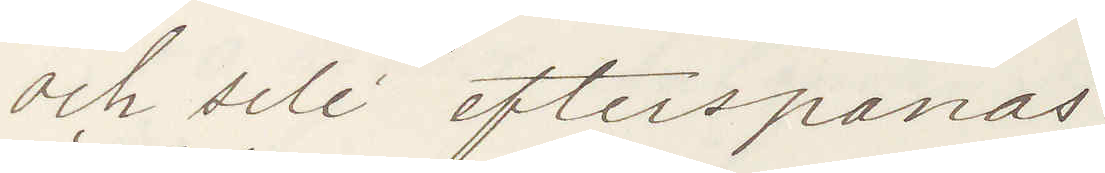och sele efterspanas:
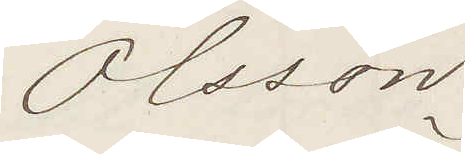Olsson
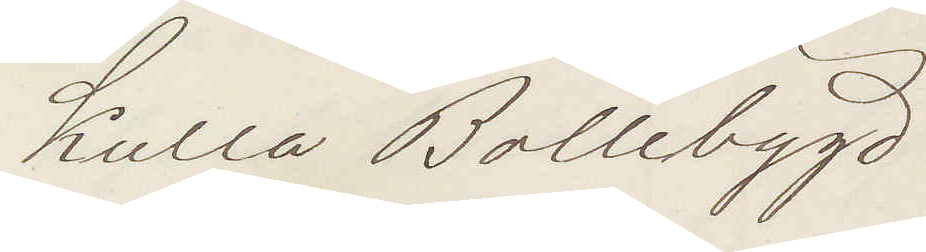Kulla Bollebygd
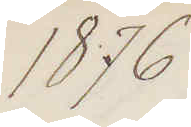1876
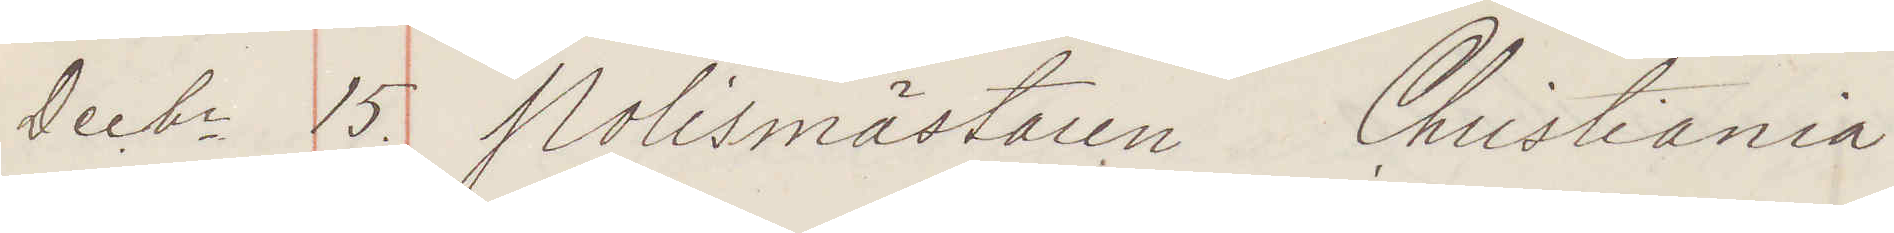Decbr 15. Polismästaren Christiania
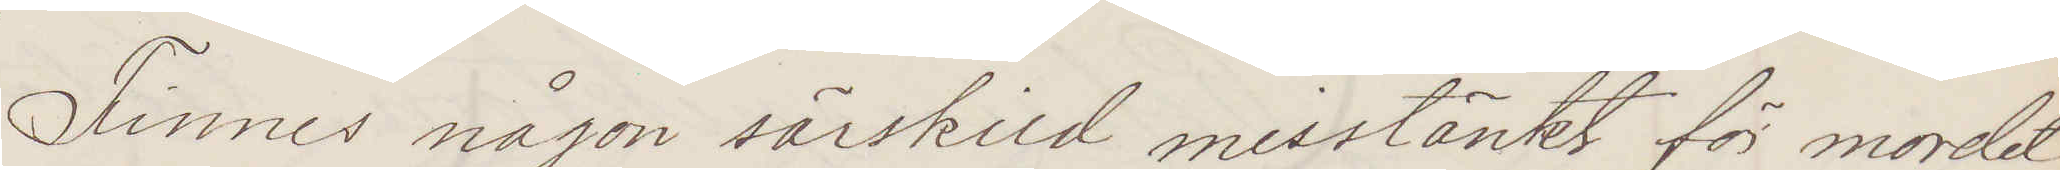Finnes någon särskild misstänkt för mordet
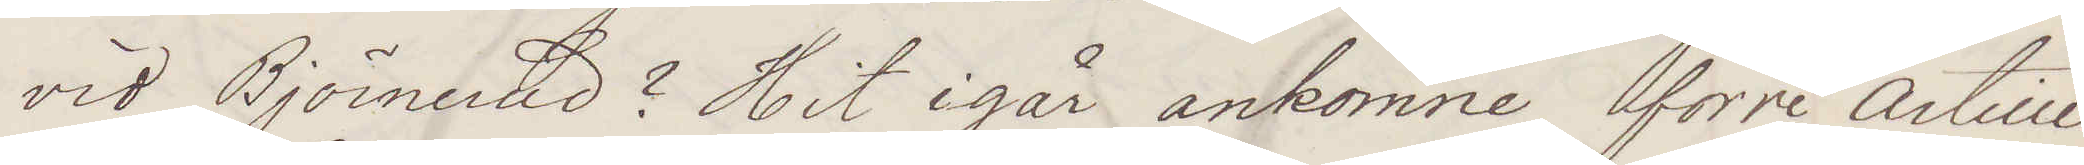vid Björnerud? Hit igår ankomne förre Artille¬
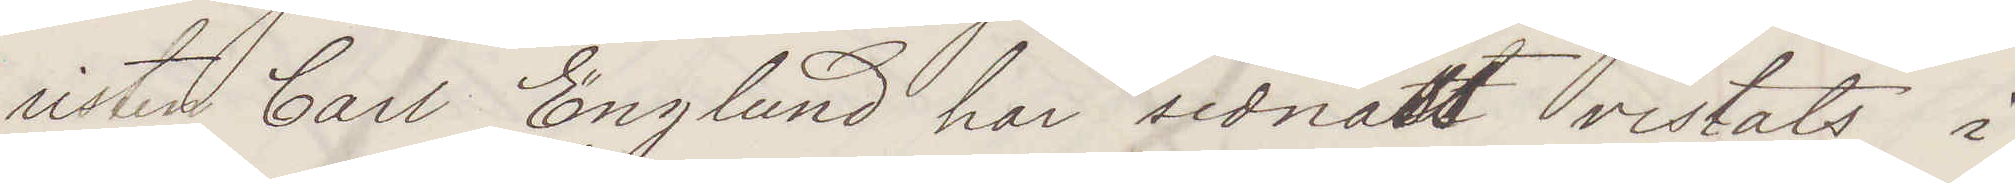risten Carl Englund har sednast vistats i
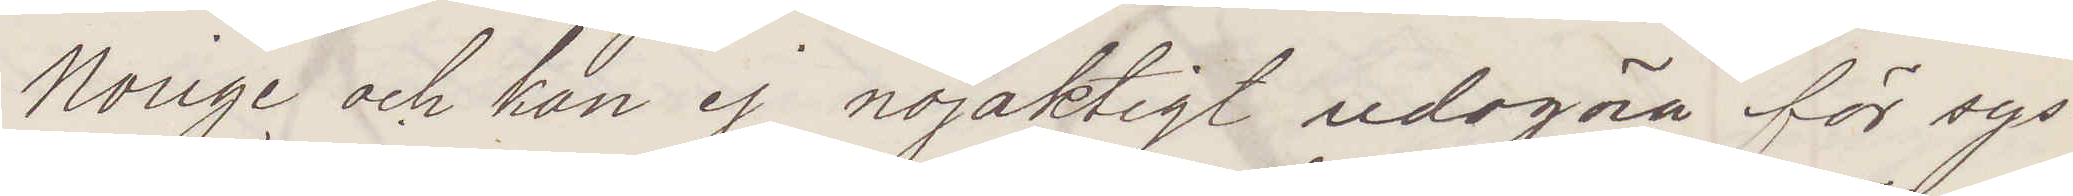Norige och kan ej nöjaktigt redogöra för sys¬
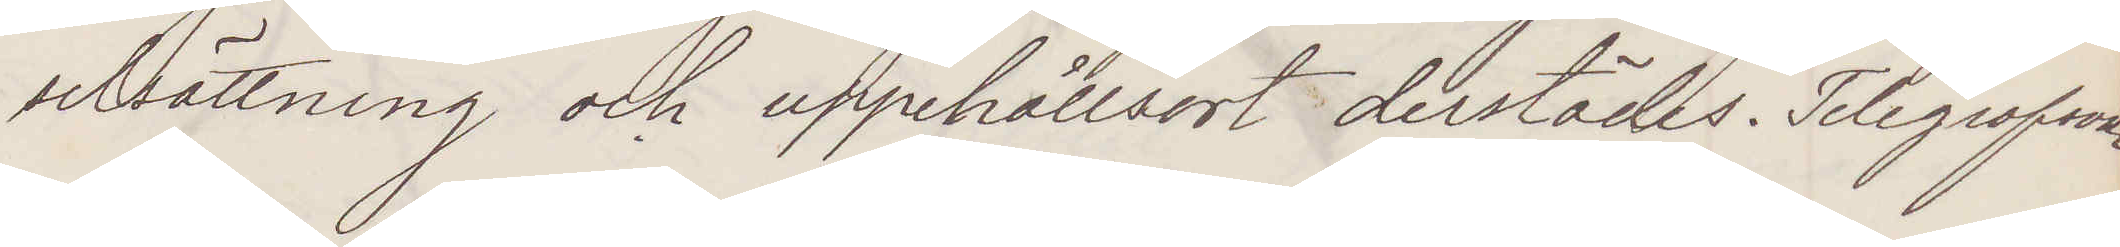selsättning och uppehållsort derstädes. Telegrafsvar
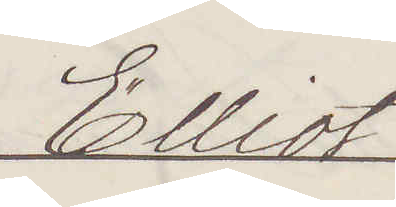Elliot
